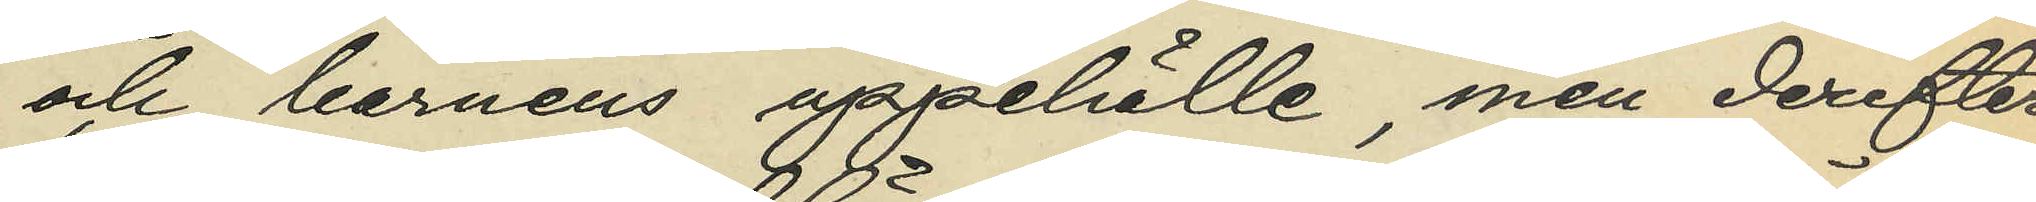och barnens uppehälle, men derefter
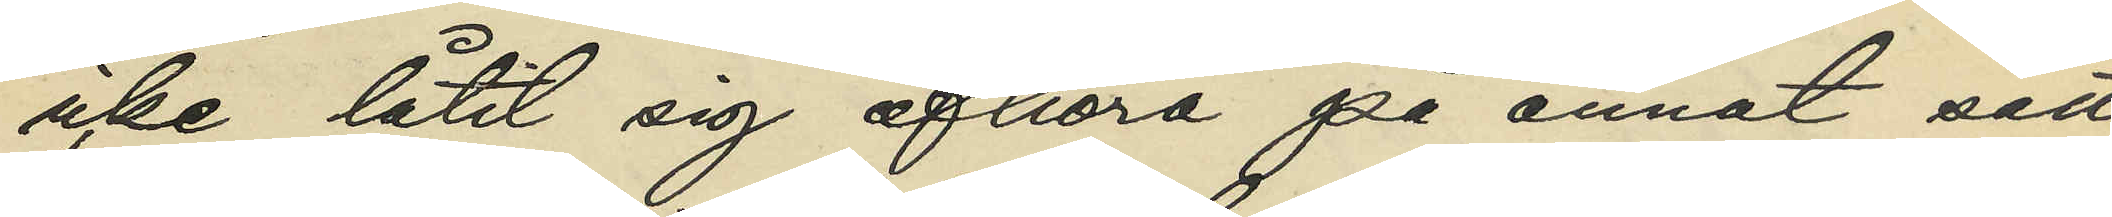icke låtit sig afhöra på annat sätt
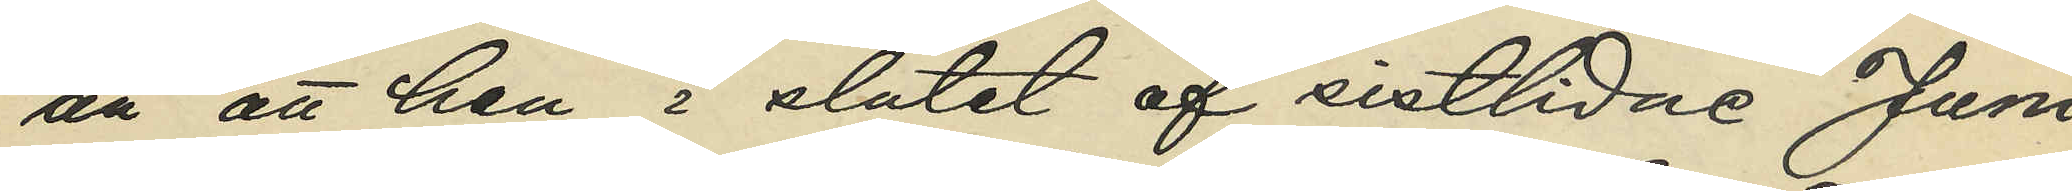än att han i slutet af sistlidne Juni
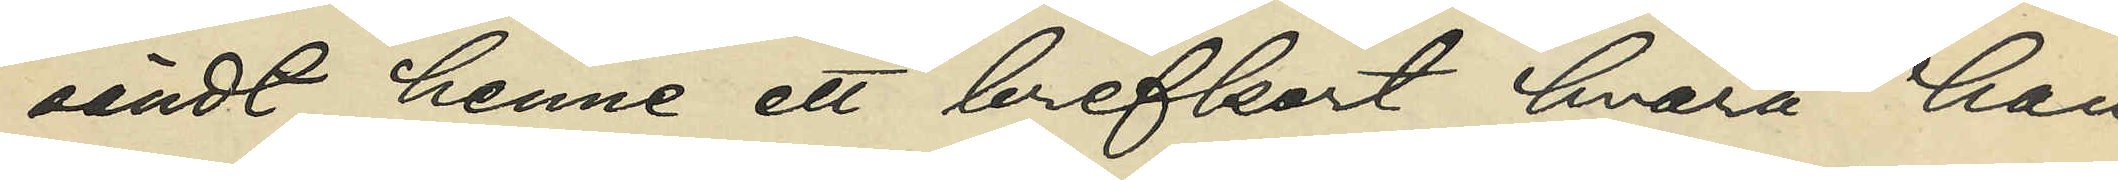sändt henne ett brefkort hvarå han
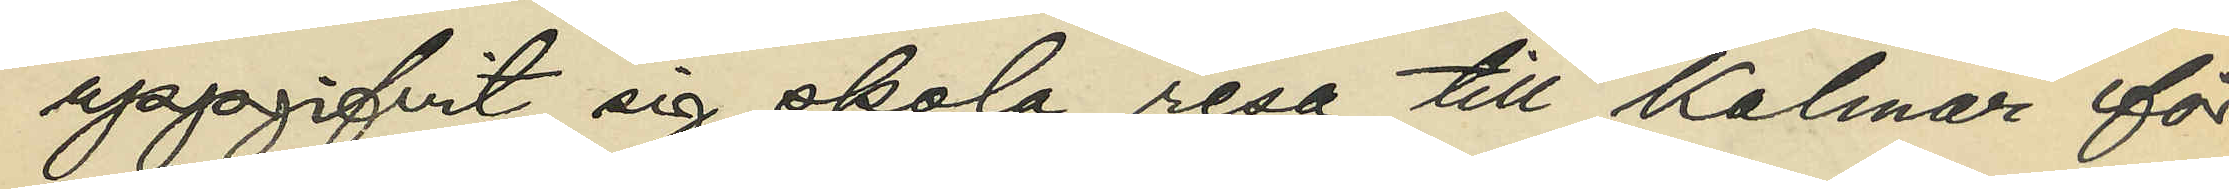uppgifvit sig skola resa till Kalmar för
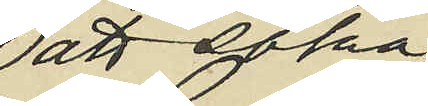att söka
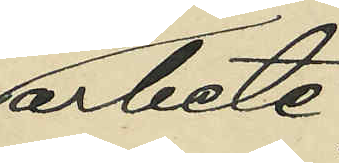arbete;
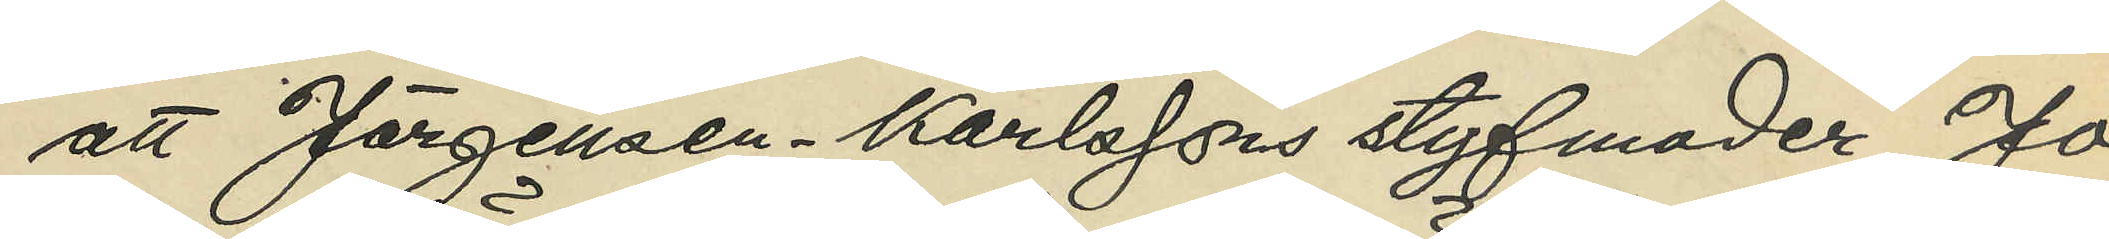att Jörgensen - Karlssons styfmoder Jo¬
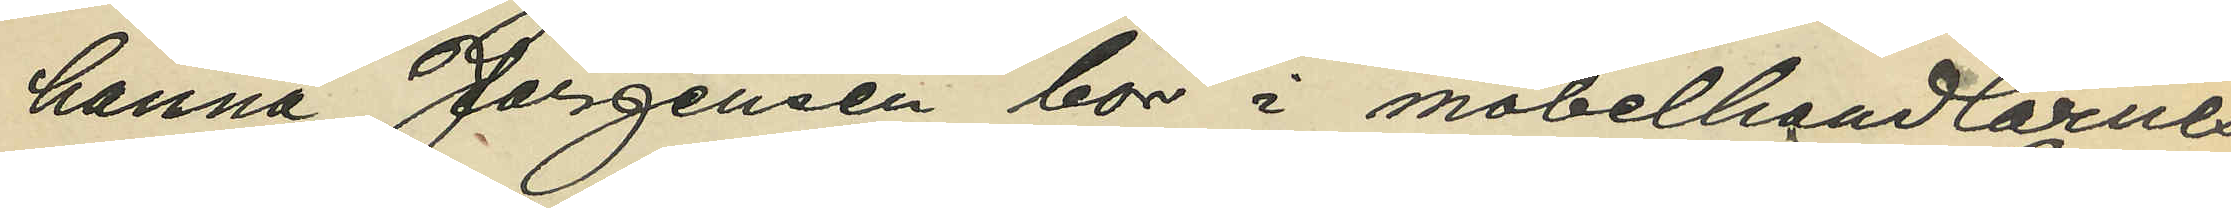hanna Jörgensen bor i möbelhandlarnes
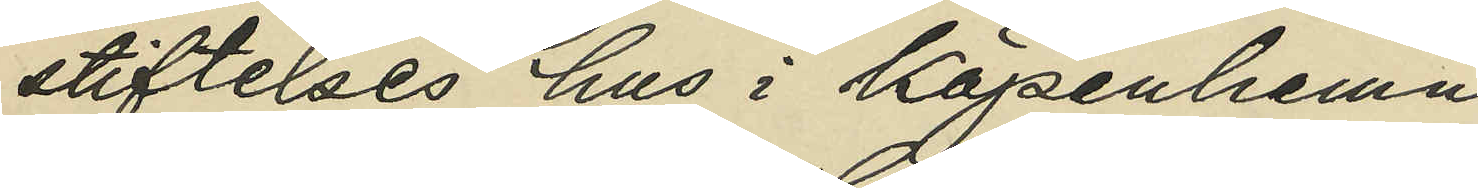stiftelses hus i Köpenhamn
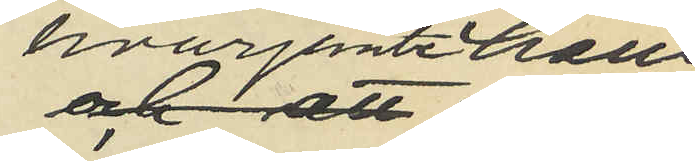hvarjemte hans
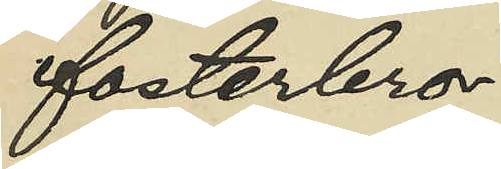fosterbror
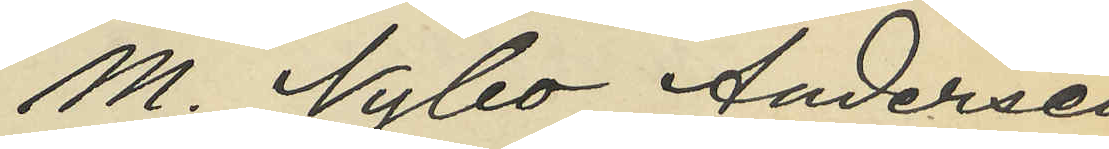M. Nybo Andersen
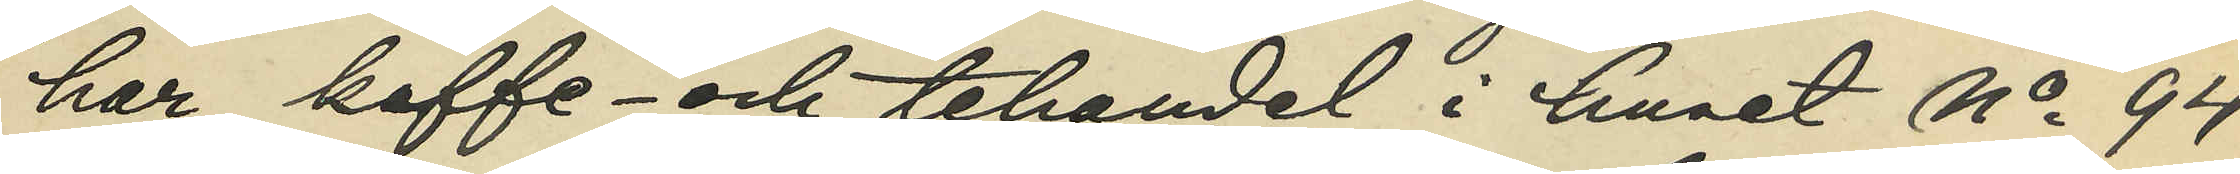har kaffe- och tehandel i huset No 94
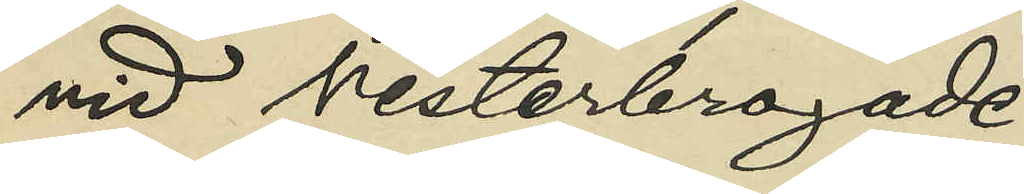vid Vesterbrogade
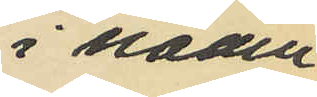i nämn¬
